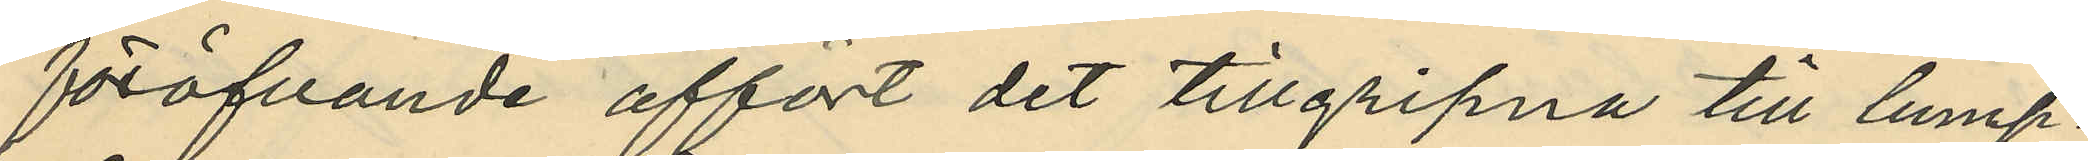föröfvande affört det tillgripna till lump¬
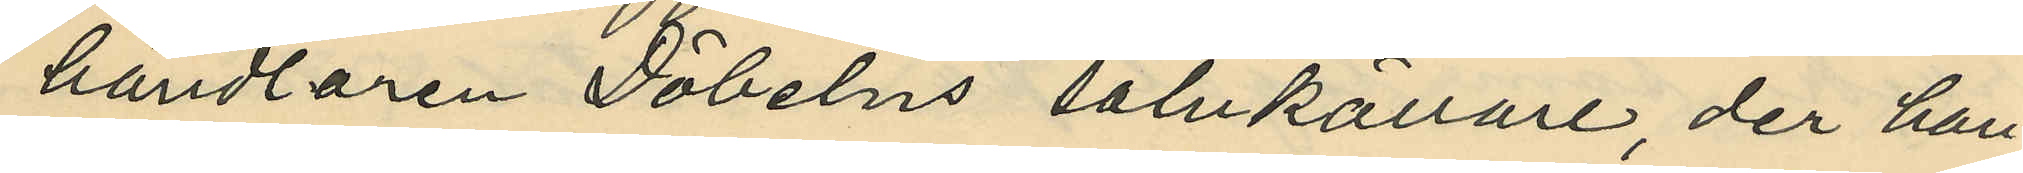handlaren Döbelns salukällare, der han
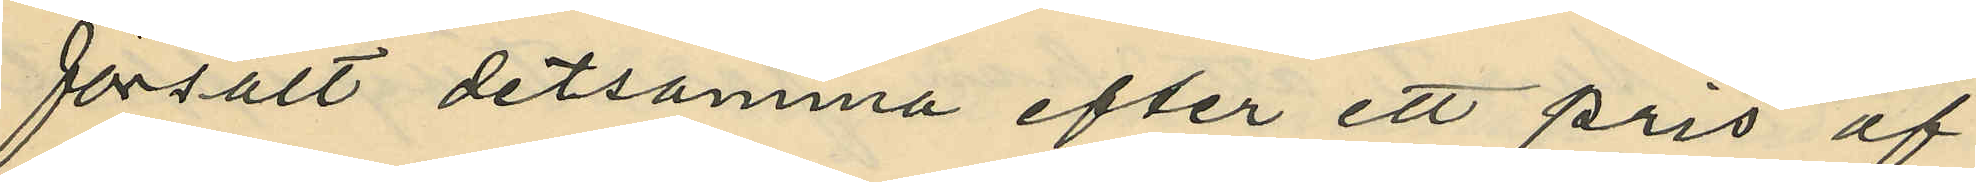försålt detsamma efter ett pris af
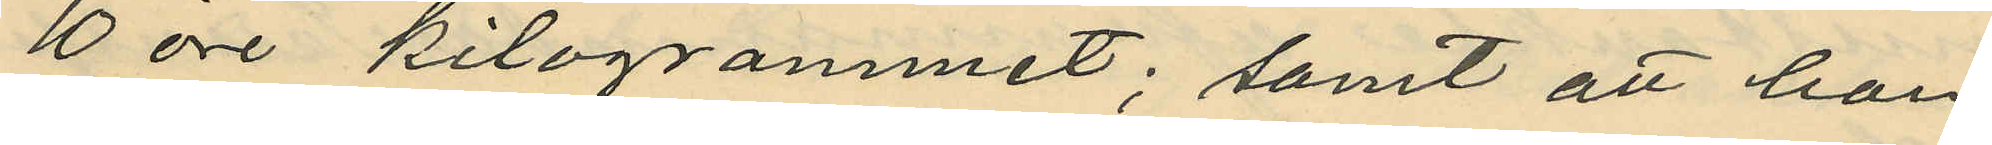10 öre kilogrammet; samt att han
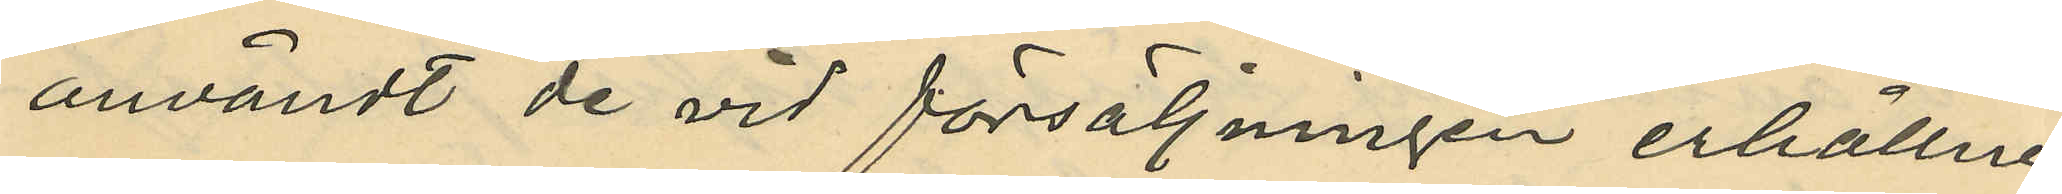användt de vid försäljningen erhållne
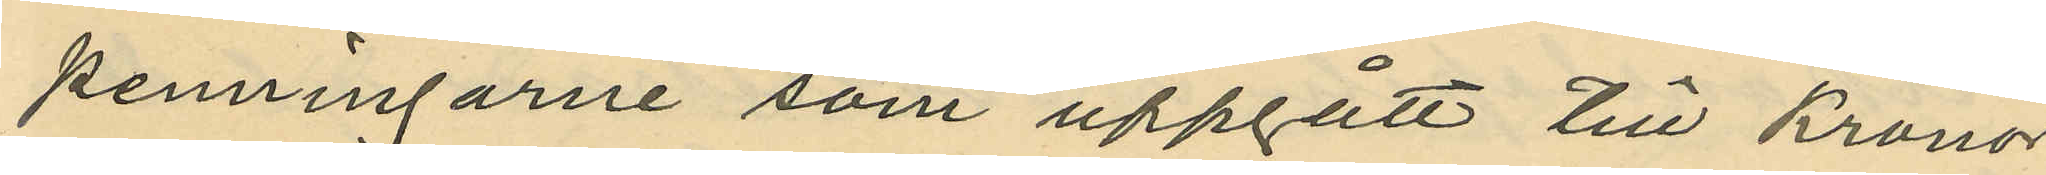penningarne som uppgått till Kronor
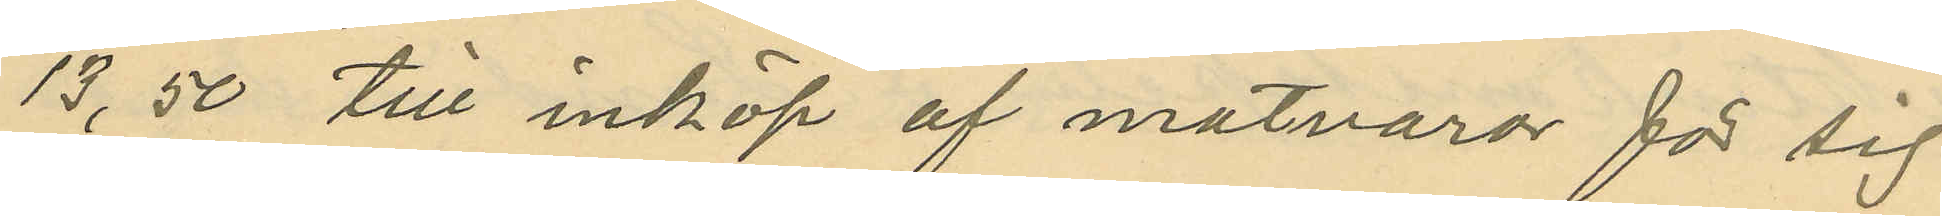13,50 till inköp af matvaror för sig
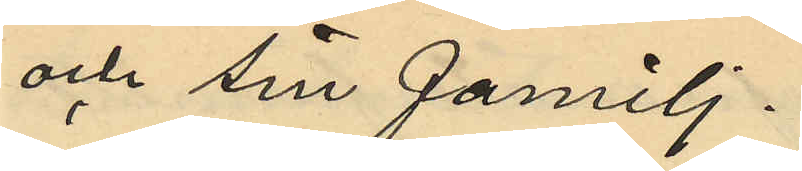och sin familj.
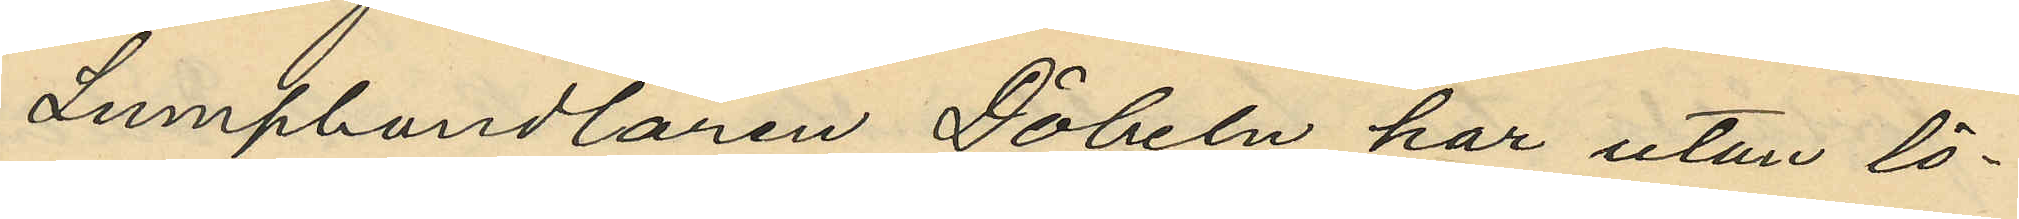Lumphandlaren Döbeln har utan lö¬
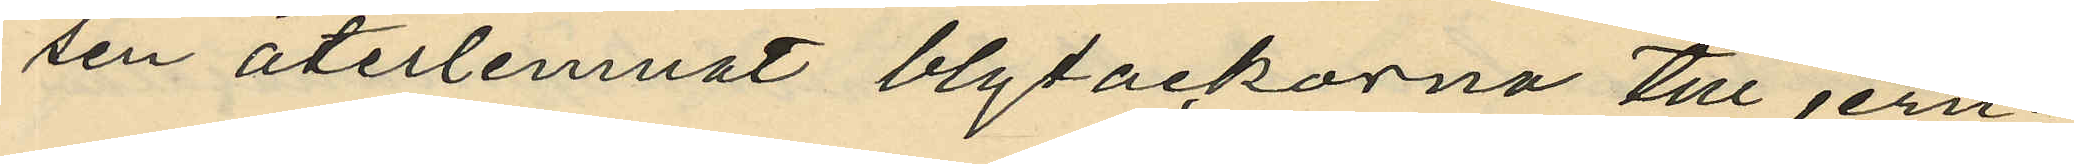sen återlemnat blytackorna till jern¬
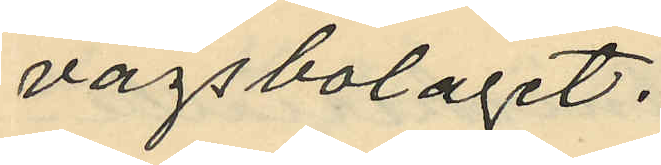vägsbolaget.
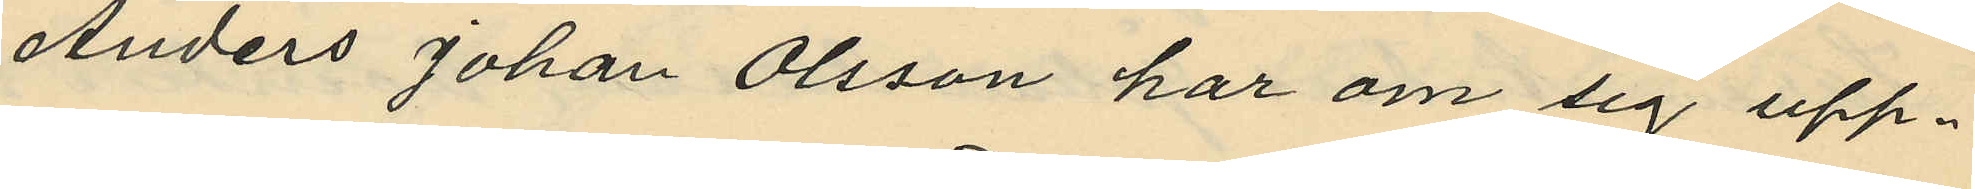Anders Johan Olsson har om sig upp¬
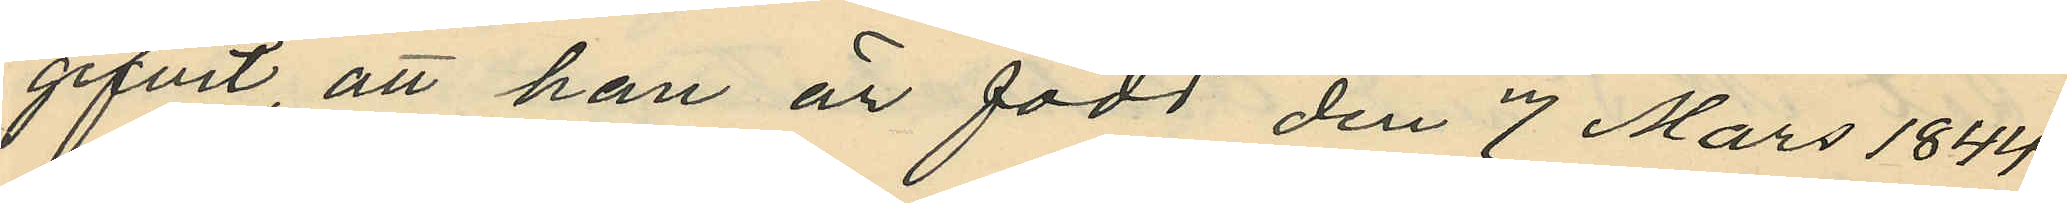gifvit, att han är född den 7 Mars 1844
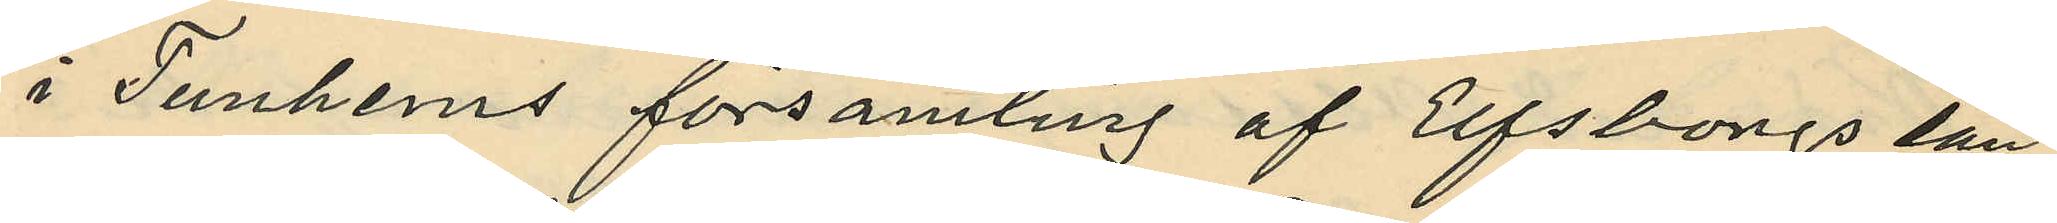i Tunhems församling af Elfsborgs län;
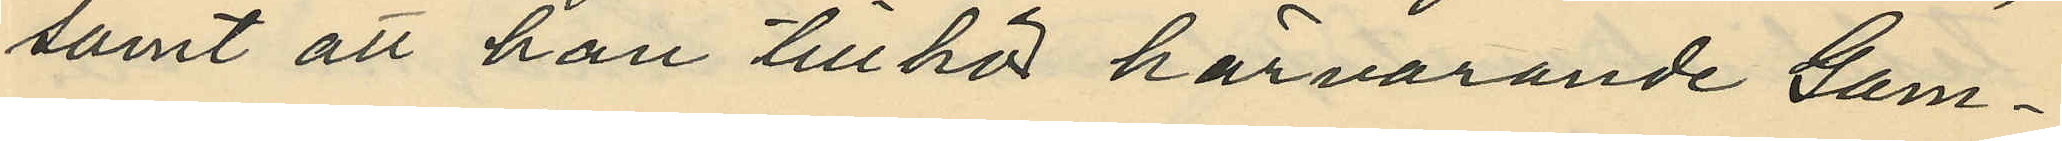samt att han tillhör härvarande Gam¬
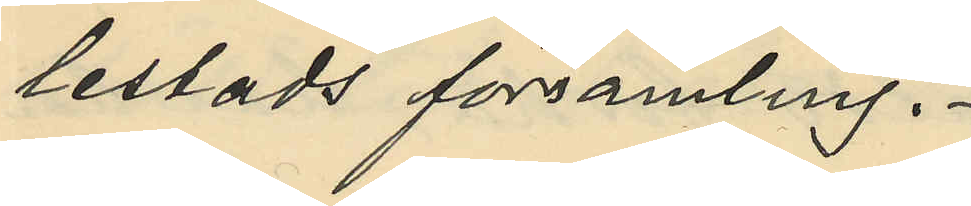lestads församling.
